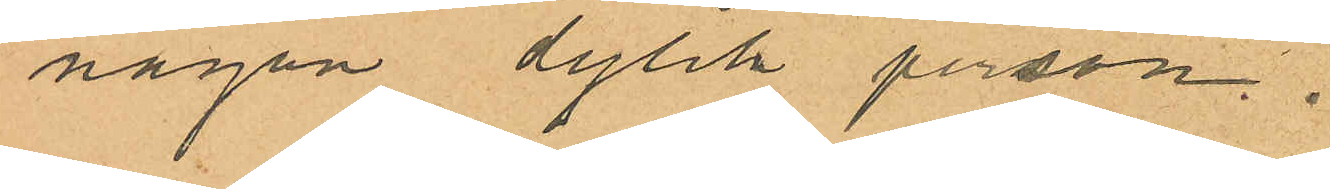någon dylik person.
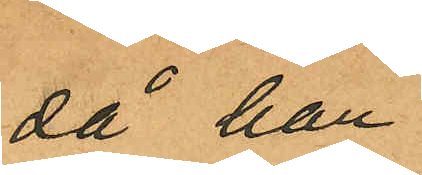då han
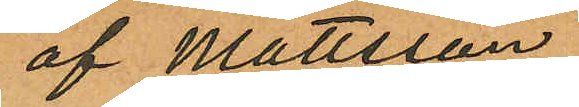af Mattsson
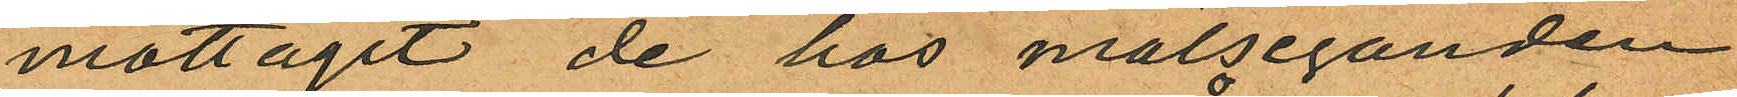mottagit de hos målseganden
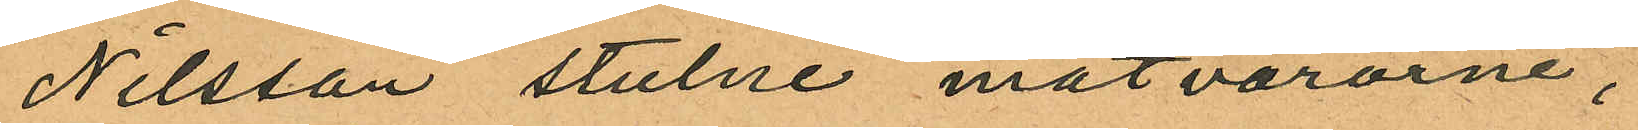Nilsson stulne matvarorne,
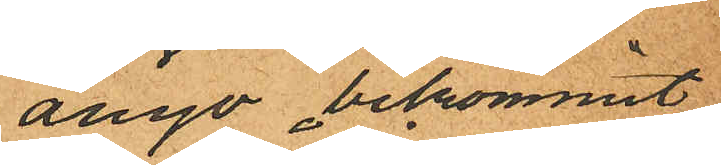ånyo bekommit
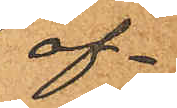of¬
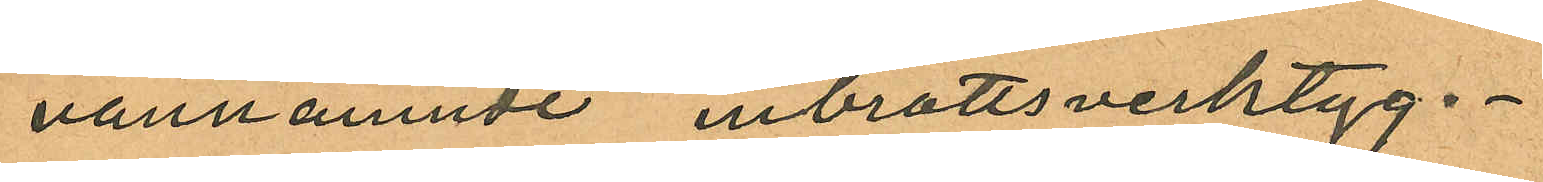vannämnde inbrottsverktyg.
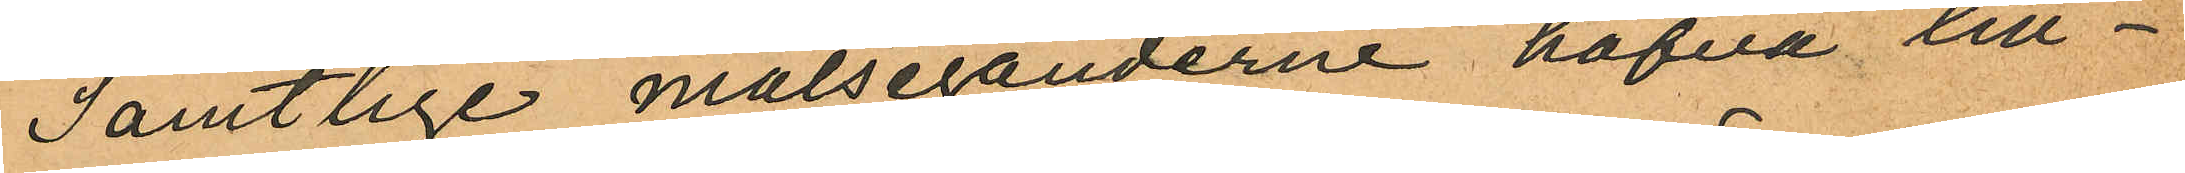Samtlige målseganderne hafva till¬
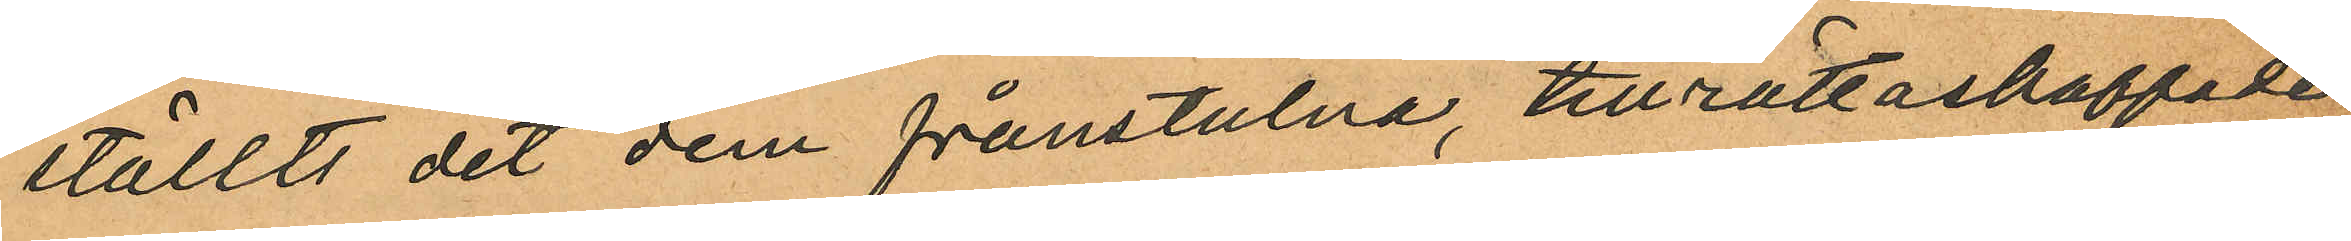ställts det dem frånstulna, tillrättaskaffade
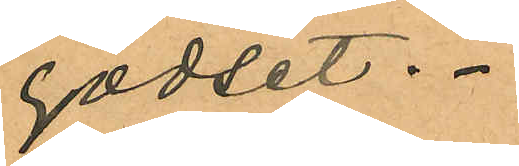godset.
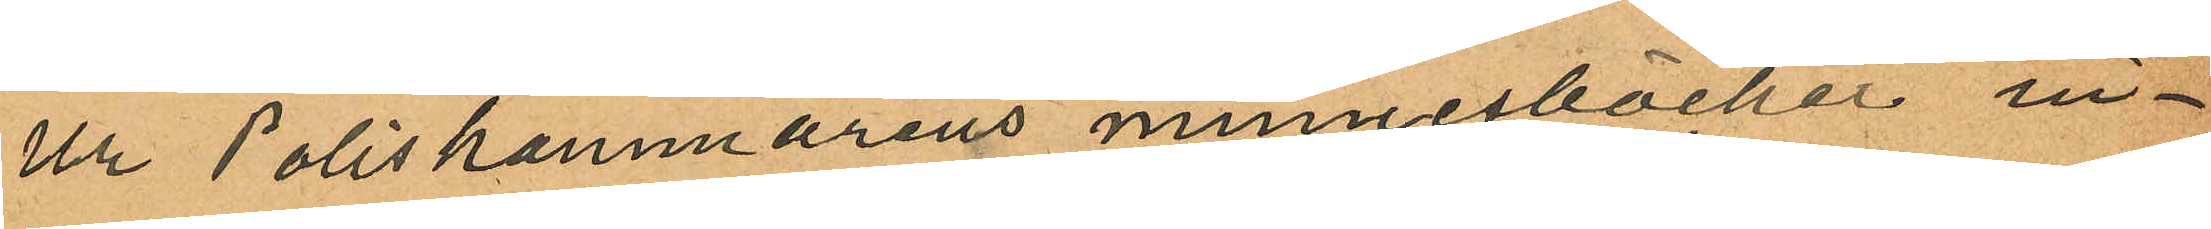Ur Poliskammarens minnesböcker in¬
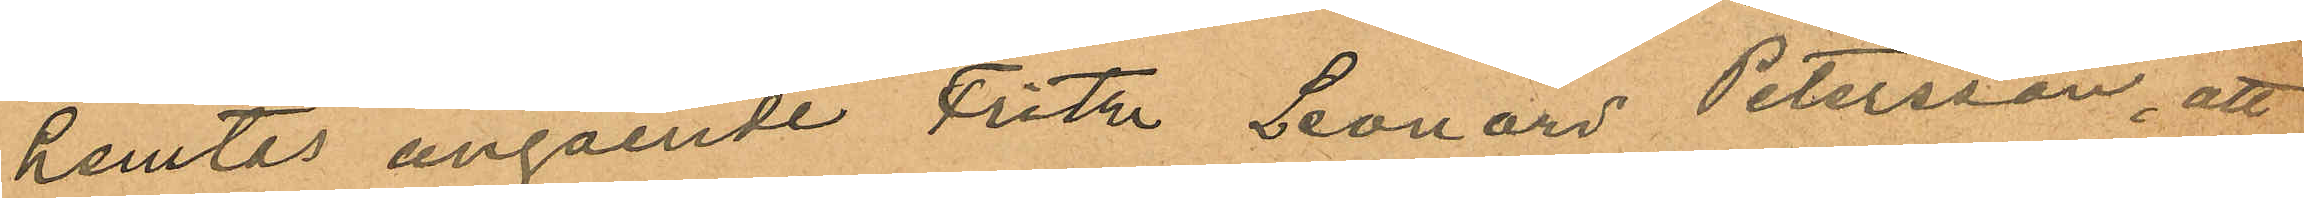hemtas angående Fritz Leonard Petersson, att
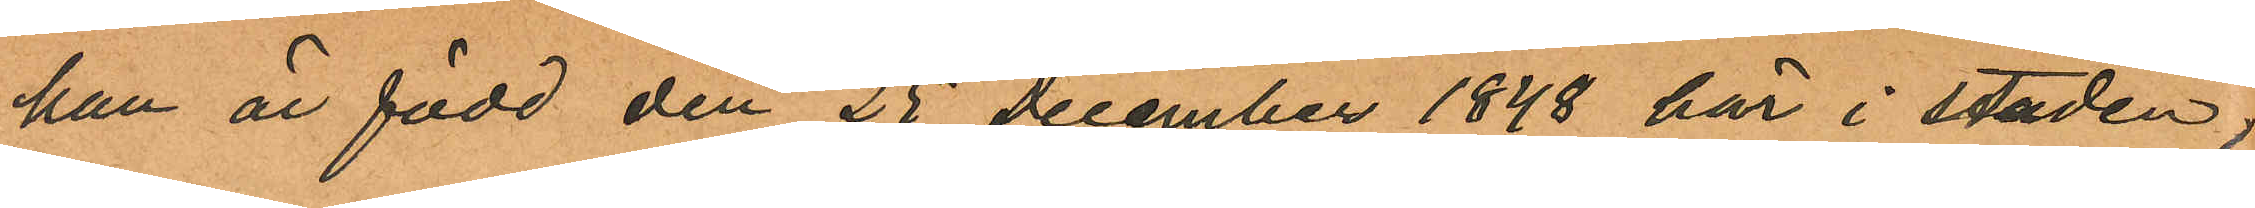han är född den 25 December 1848 här i staden,
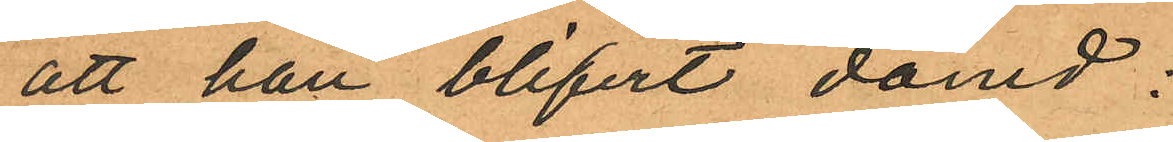att han blifvit dömd:
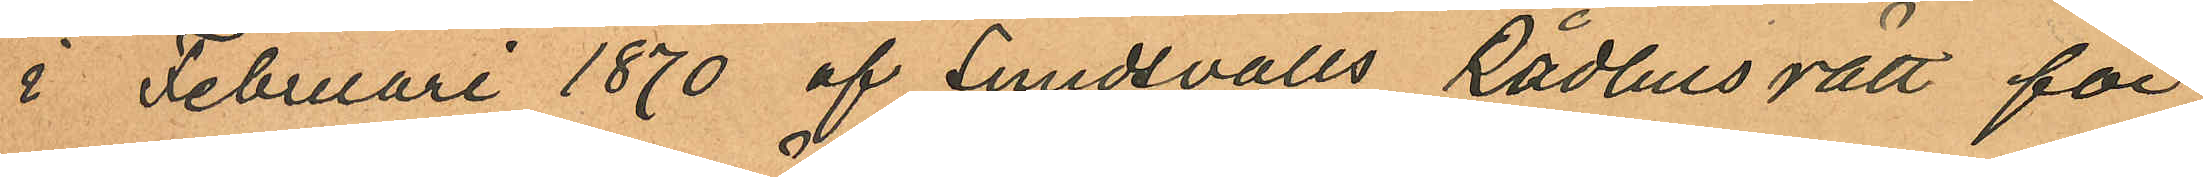i Februari 1870 af Sundsvalls Rådhus rätt för
